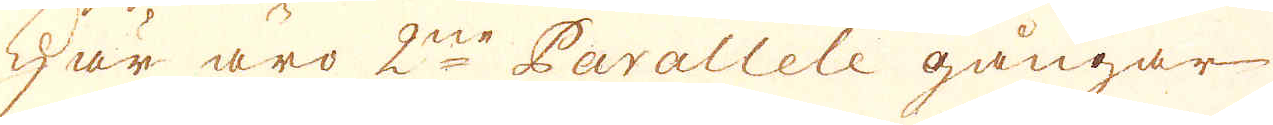Här äro 2ne Parallele gångar
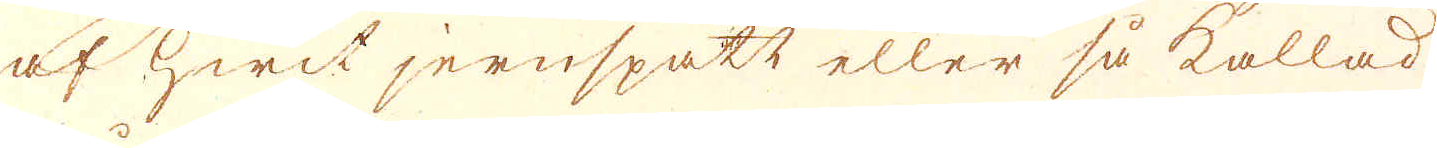af hwit jernspath eller så kallad
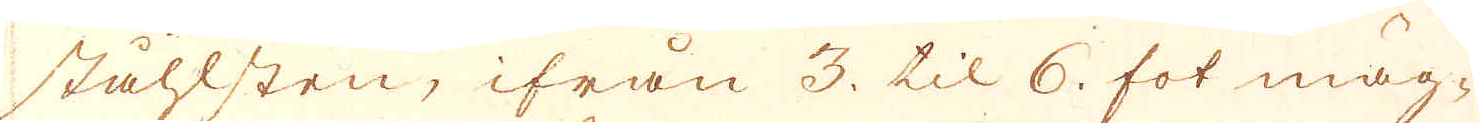ståhlsten, ifrån 3. til 6. fot mäg-
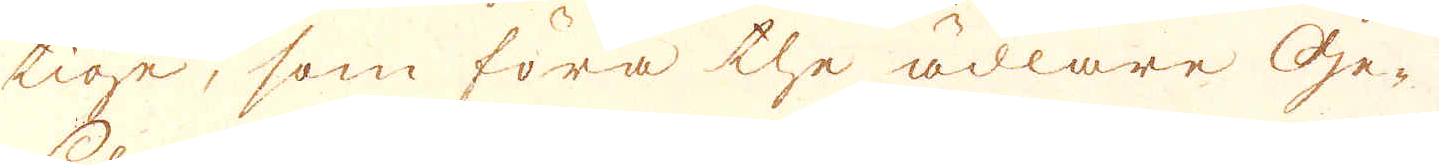tige, som föra the ädlare Ge-
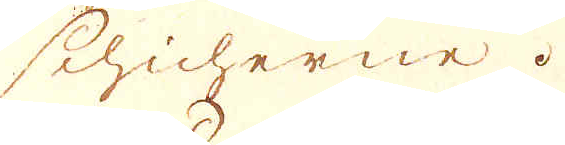chicherne.
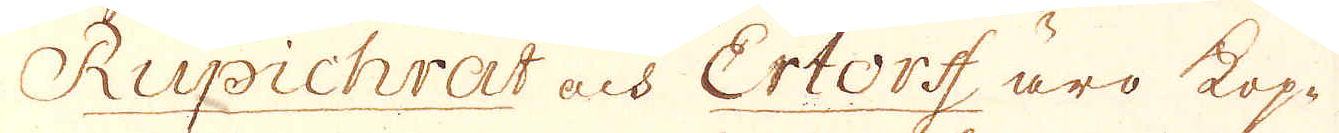Rupichrat och Ertorff äro kop-
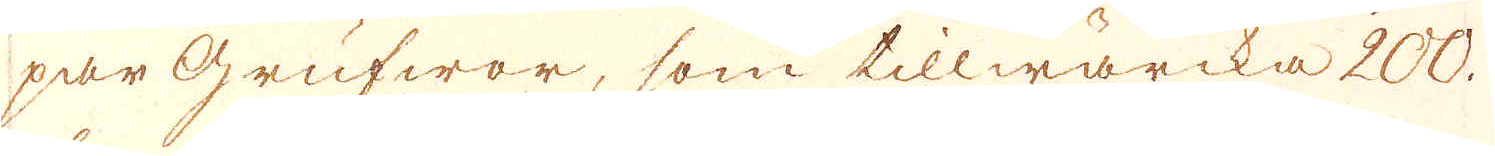par grufwor, som tillwärcka 200.
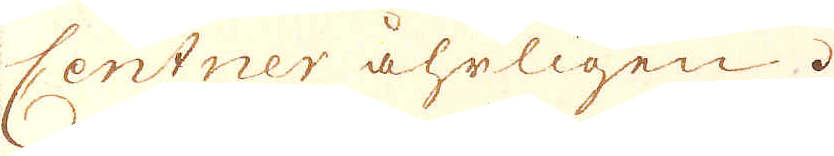Centner åhrligen.
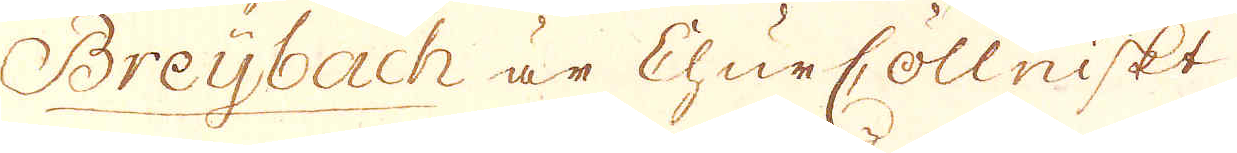Breybach är ChurCöllniskt
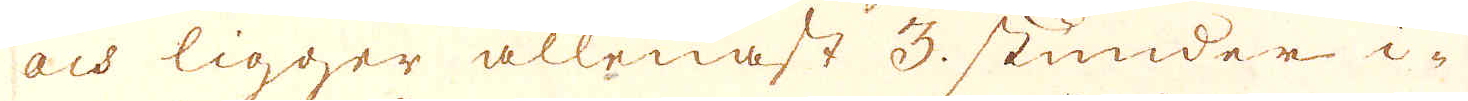och ligger allenast 3. stunder i-
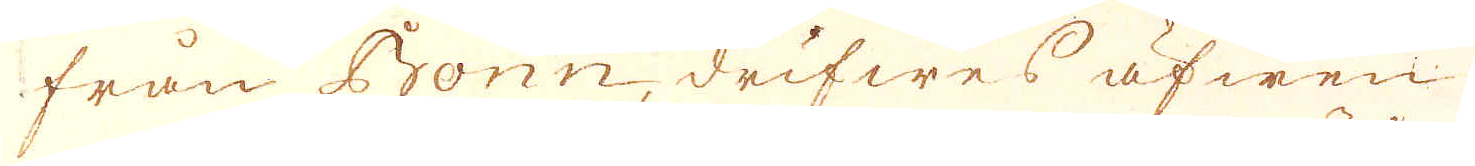från Bonn, drifwes äfwen
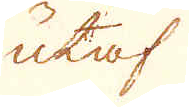utaf
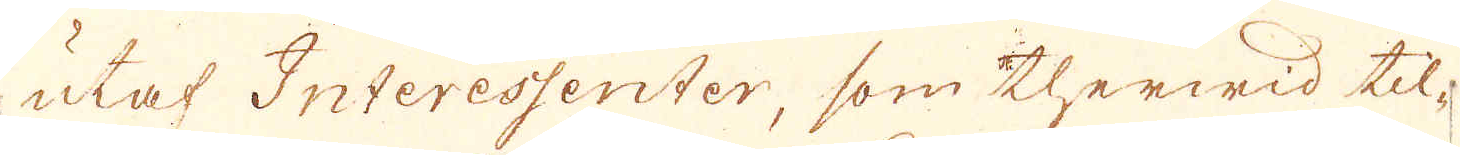utaf Interessenter, som therwid til-
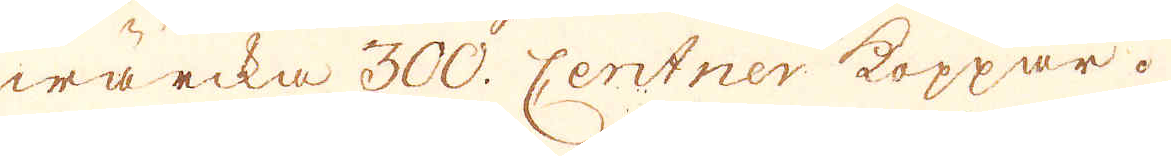wärcka 300. centner koppar.
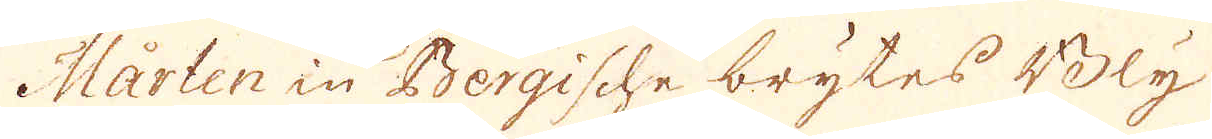Mårten in Bergische brytes Bly
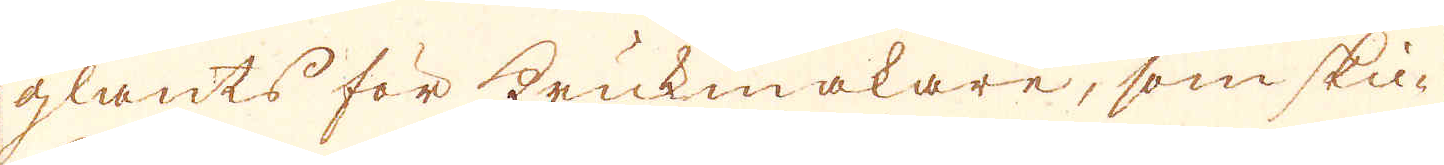glants för krukmakare, som ski-
